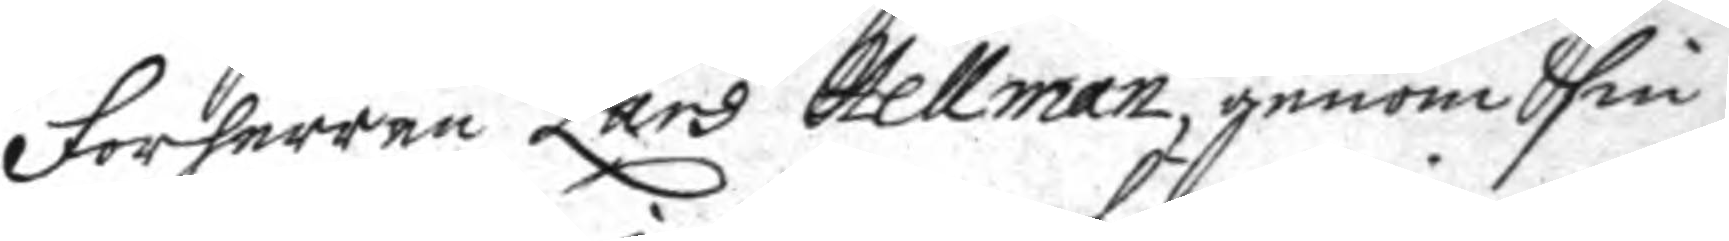Forherren Lars Hellman, genom sin
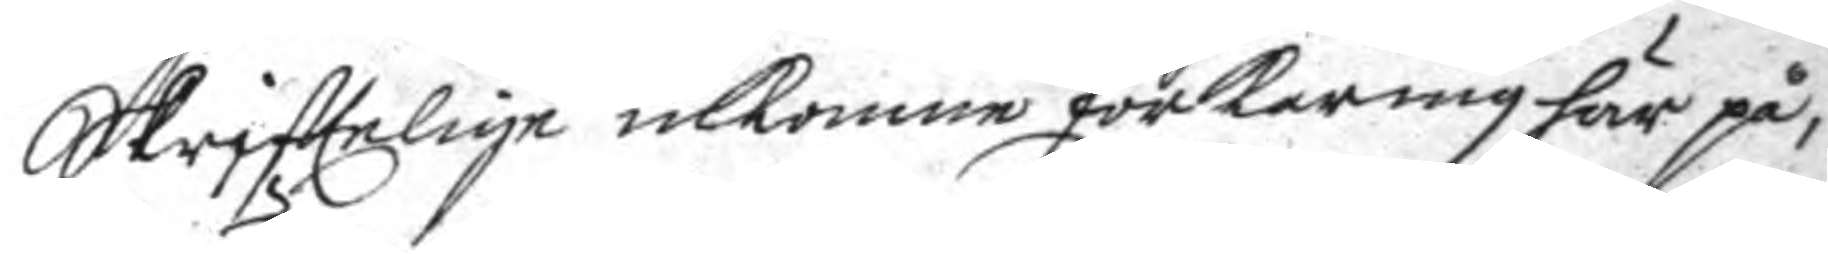Skrifttelige inkomme förkering här på,
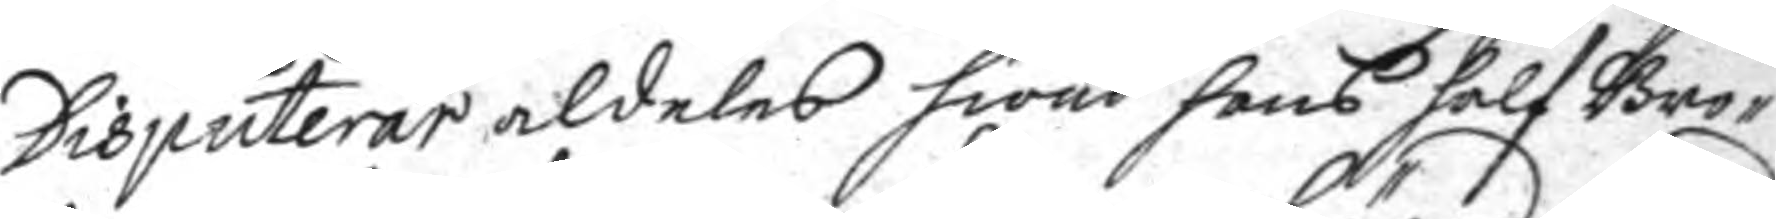Disputerar aldeles hwad hans halfBro¬
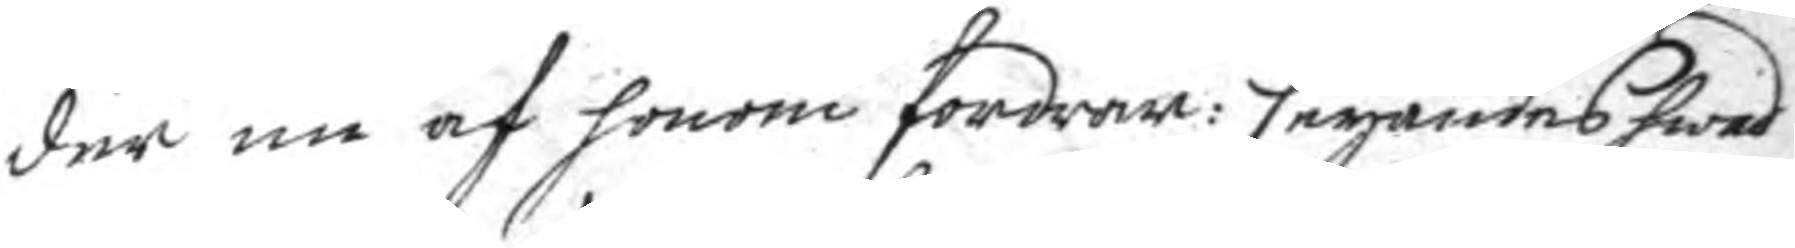der nu af honom fordrar: seyandes hwad
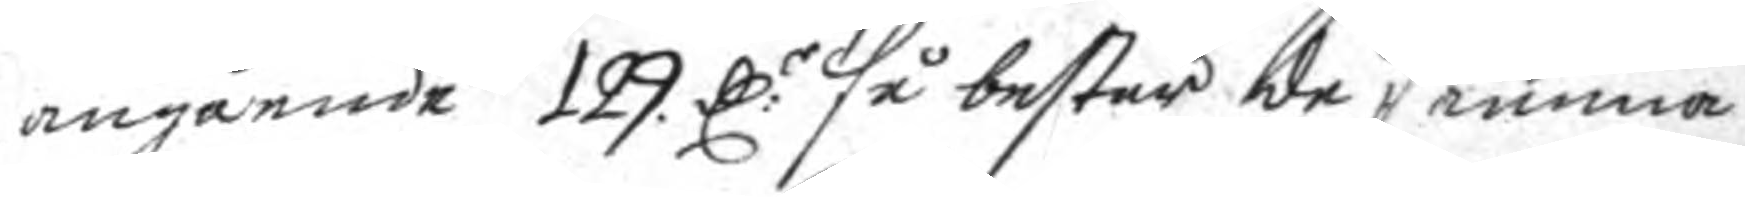angående 129 C:r så består de samma
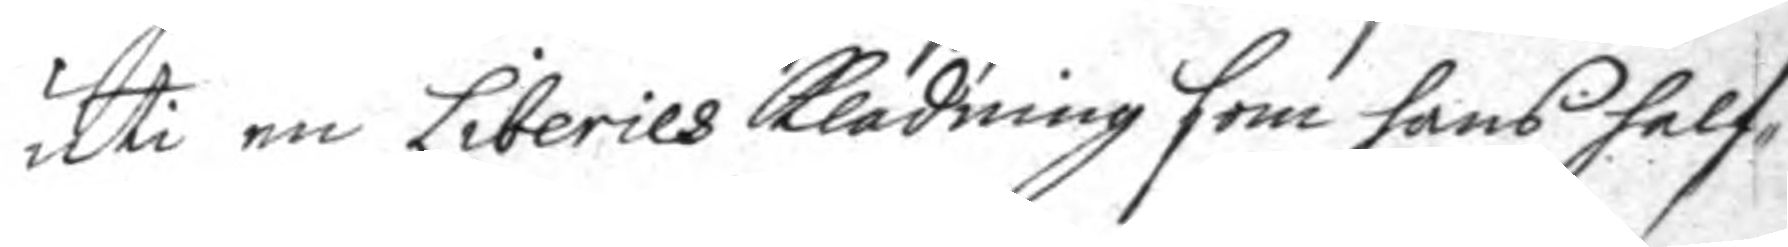uti en Liberies klädning som hans half¬
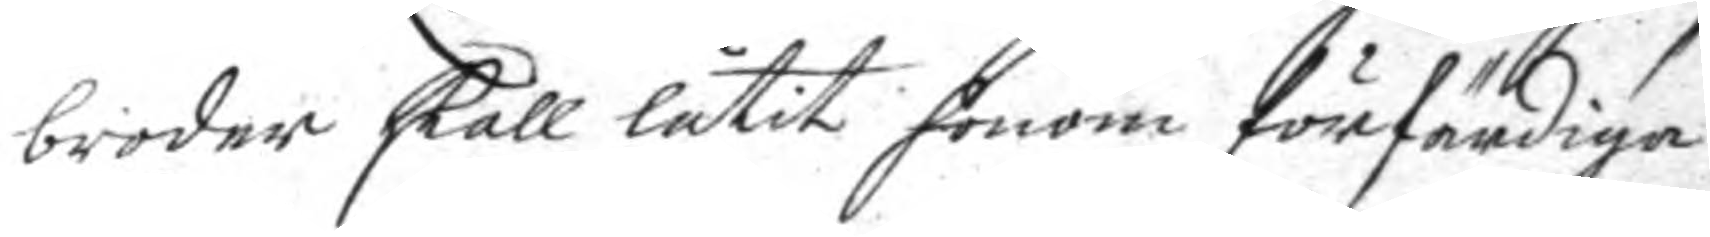broder skall låtit honom förfärdiga
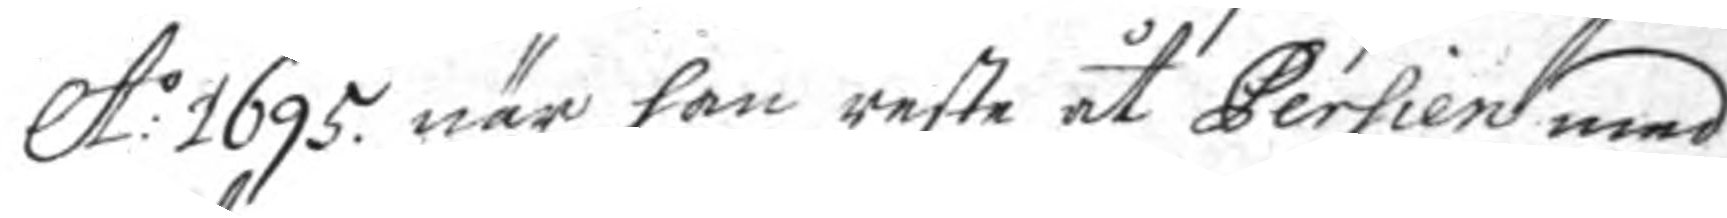A:o 1695 när han reste åt Persien med
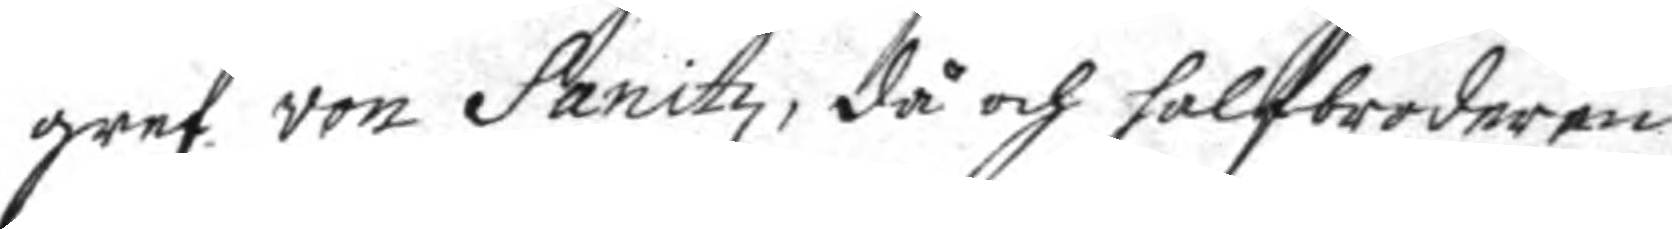gref von Sanitz, då och halfbroderen
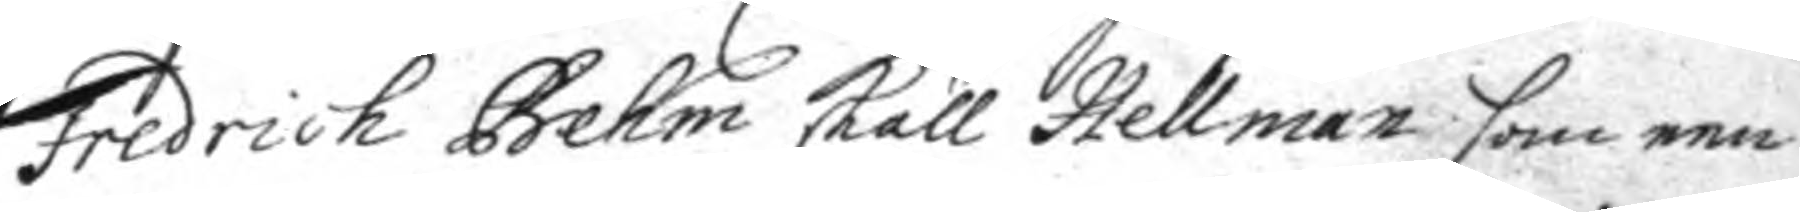Fredrich Behm skall Hellman som een
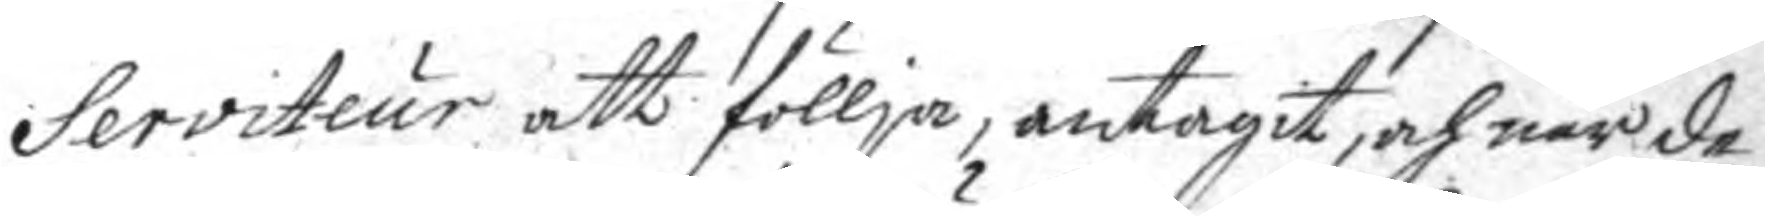Serviteur att föllja, antagit, och när de
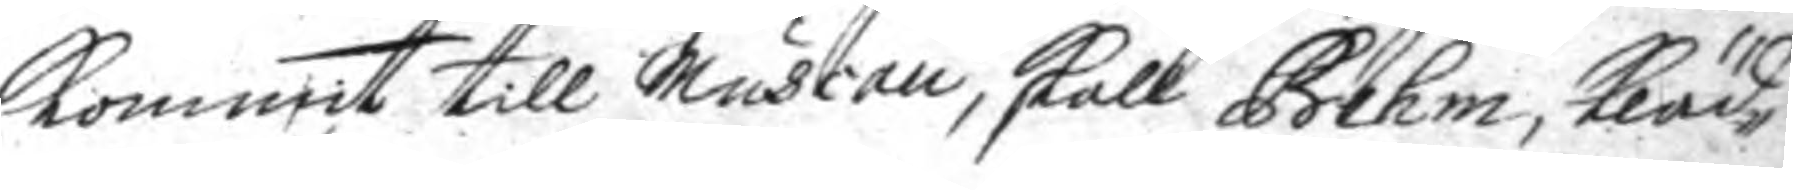kommit till Muscau, skall Behm, kläd¬
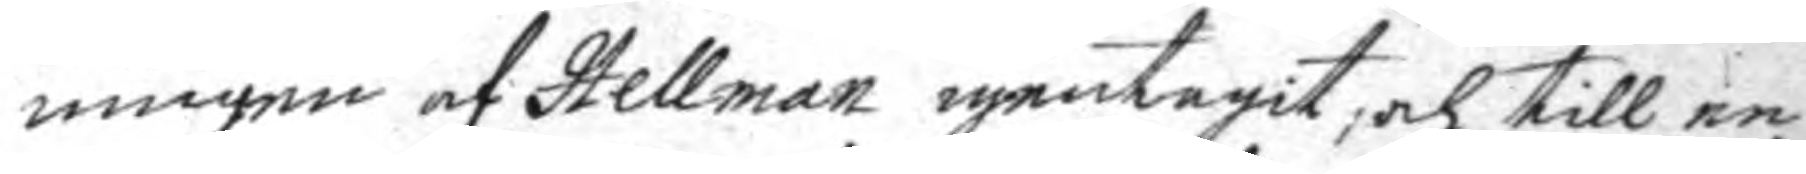ningen af Hellman igentagit, och till en
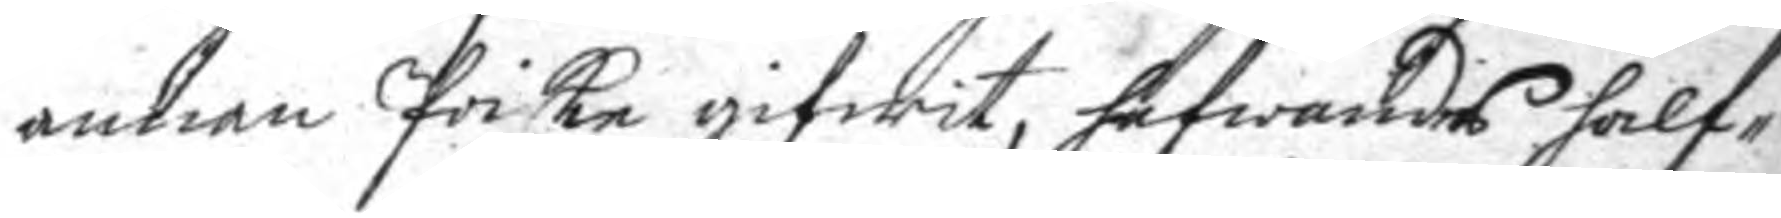annan Poike gifwit, hafwandes half¬
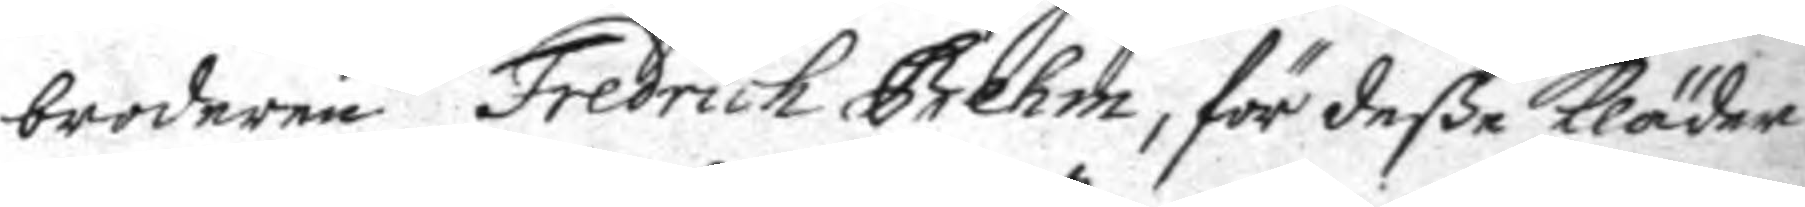broderen Fredrich Behm, för deße kläder
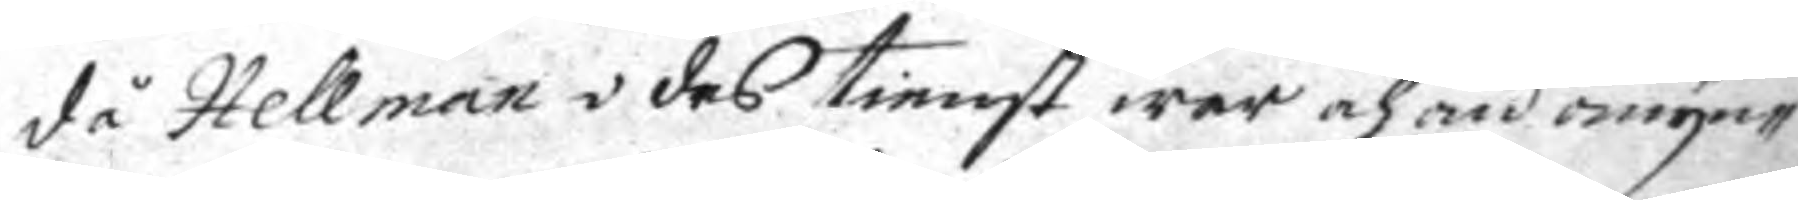då Hellman i des tienst war och än omyn¬
